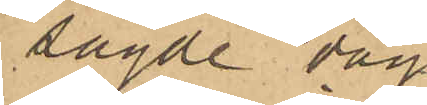sagde dag
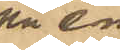på e m
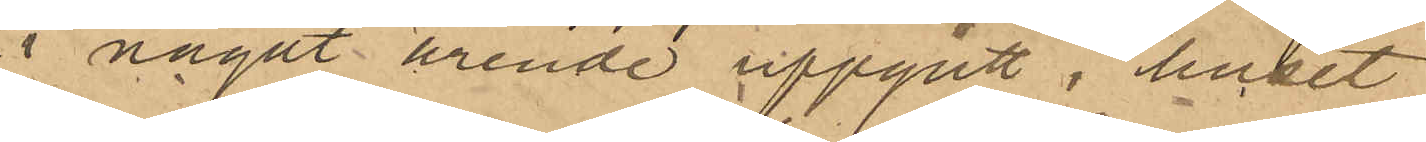i något ärende uppgått i huset
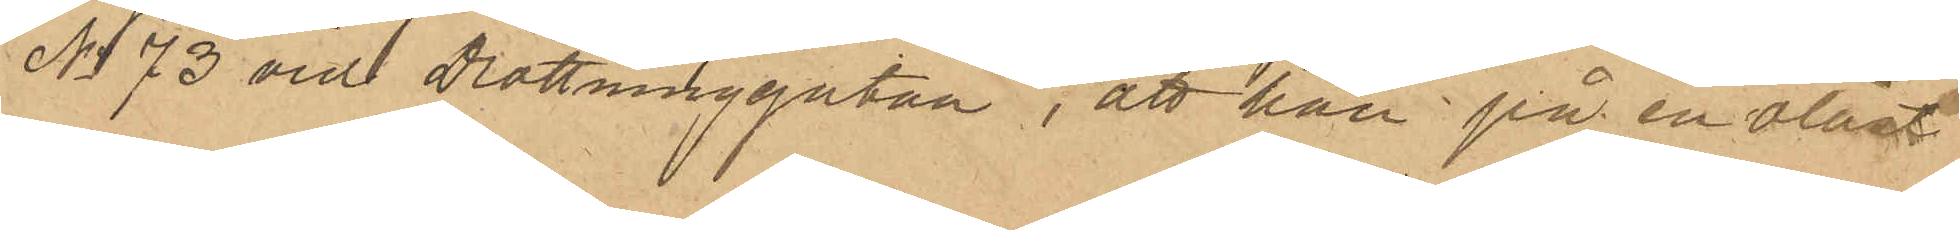No 73 vid Drottninggatan, att han på en olåst
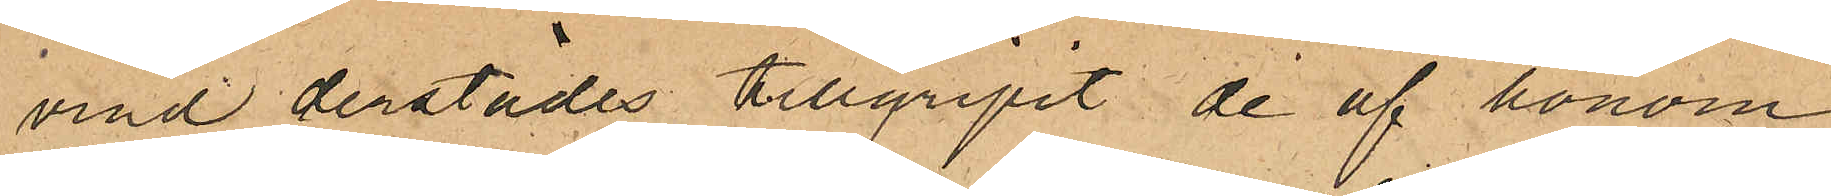vind derstädes tillgripit de af honom
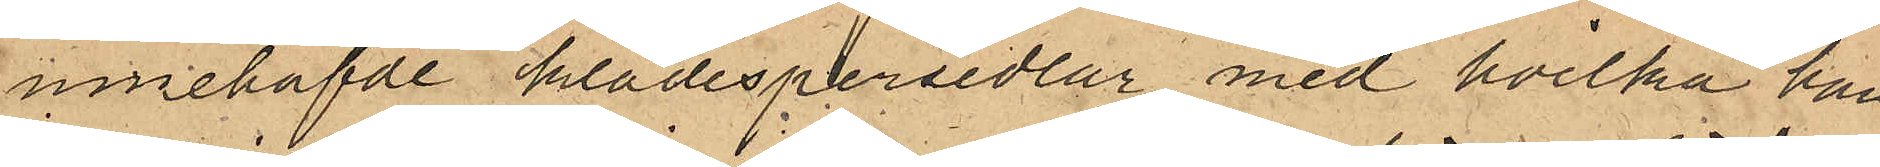innehafde klädespersedlar, med hvilka han
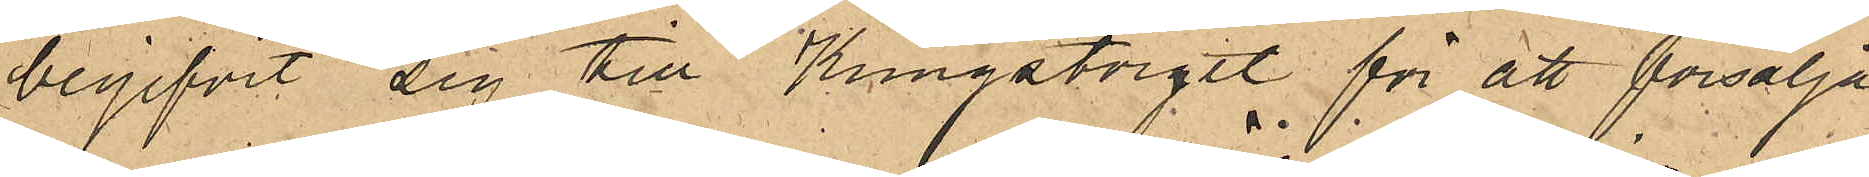begifvit sig till Kungstorget för att försälja
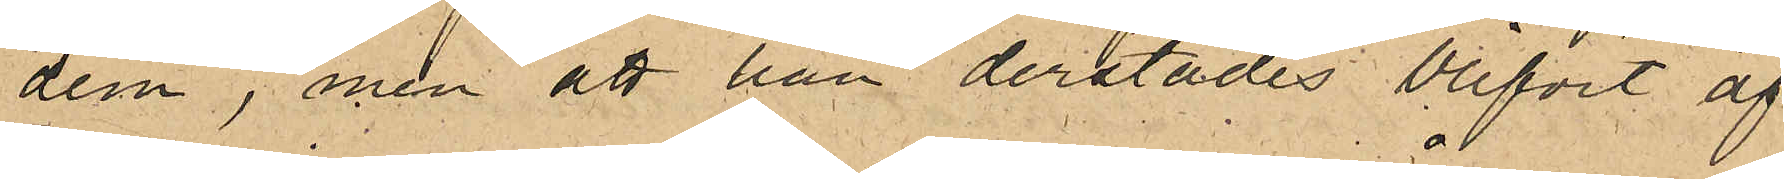dem, men att han derstädes blifvit af
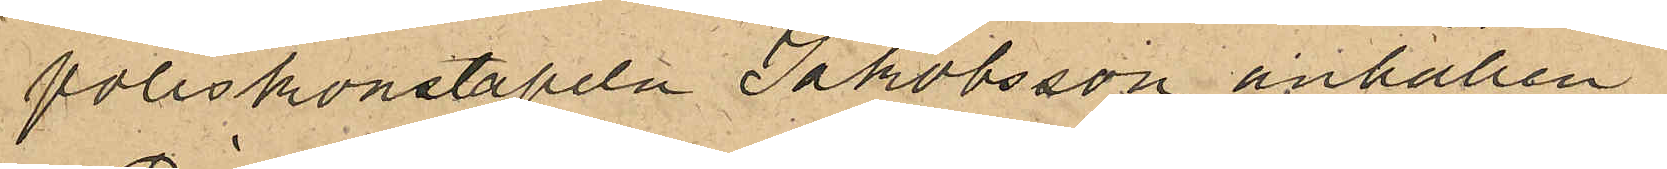Poliskonstapeln Jakobsson anhållen.
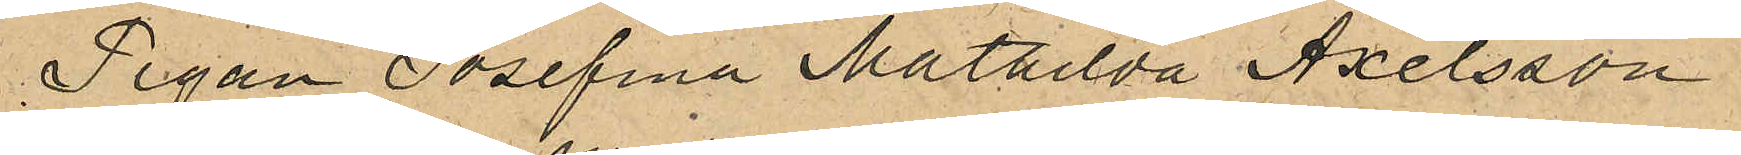Pigan Josefina Mathilda Axelsson i
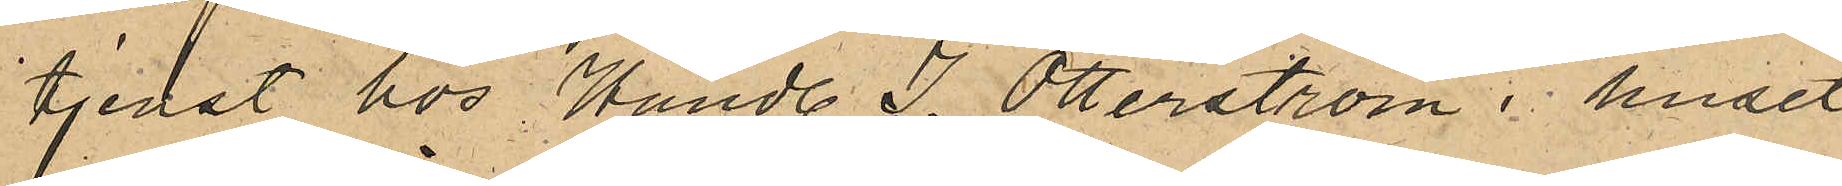tjenst hos Handl. J. Otterström i huset
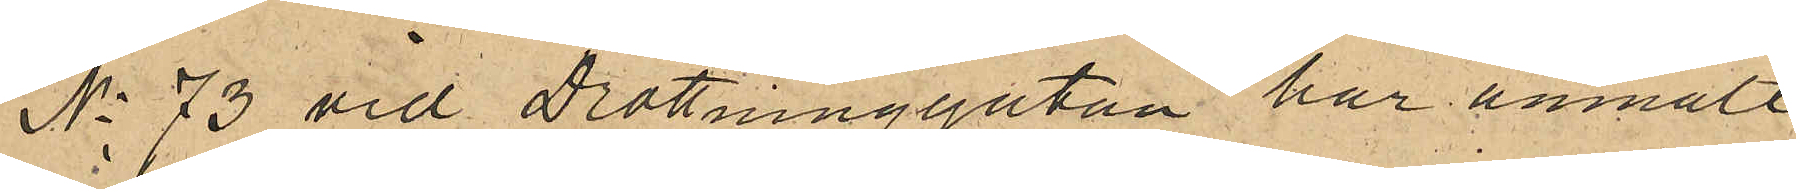No 73 vid Drottninggatan har anmält
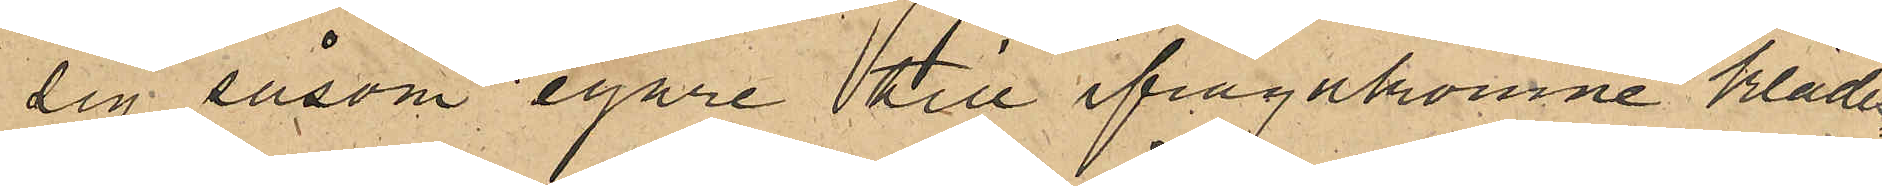sig såsom egare till ifrågakomne klädes¬
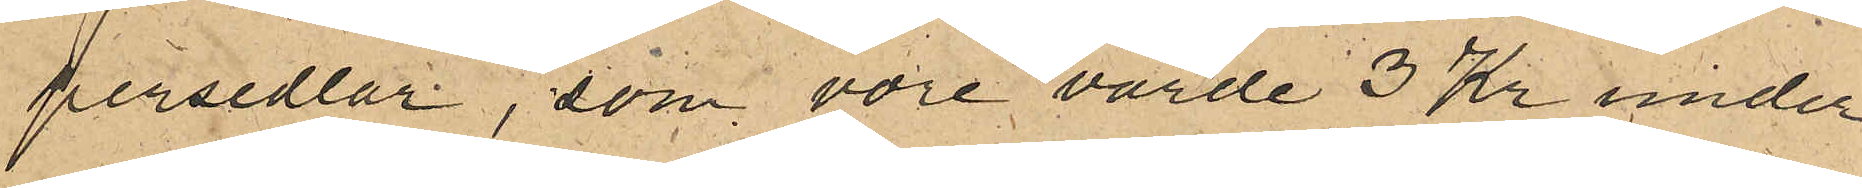persedlar, som vore värde 3 Kr under
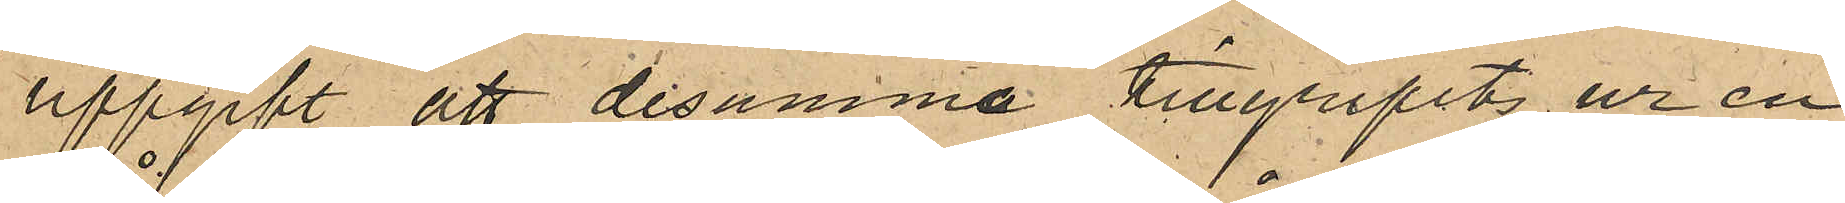uppgift att desamma tillgripits ur en
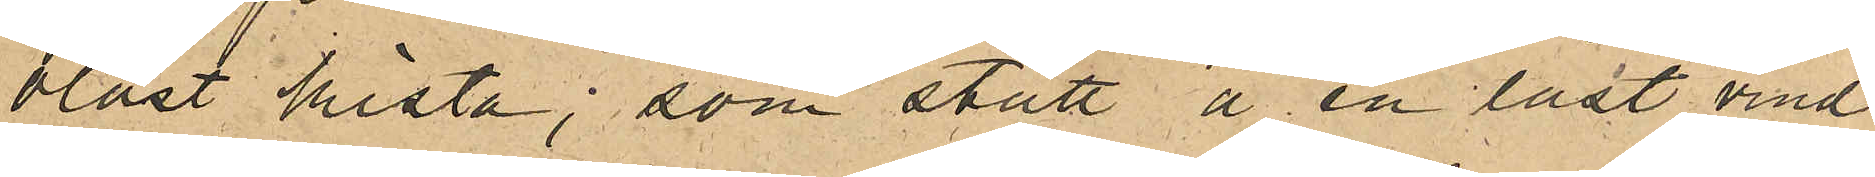olåst kista, som stått å en låst vind
